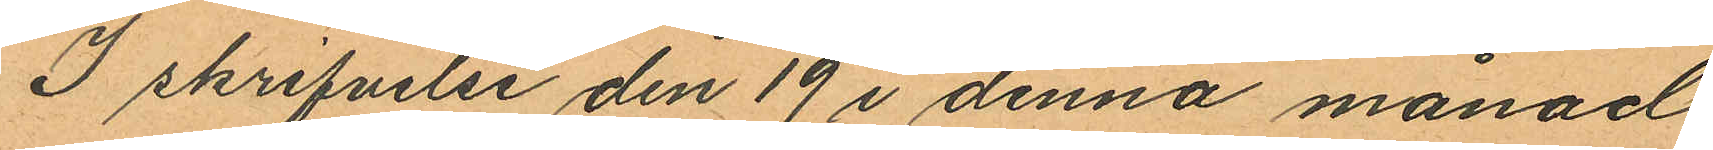I skrifvelse den 19 i denna månad
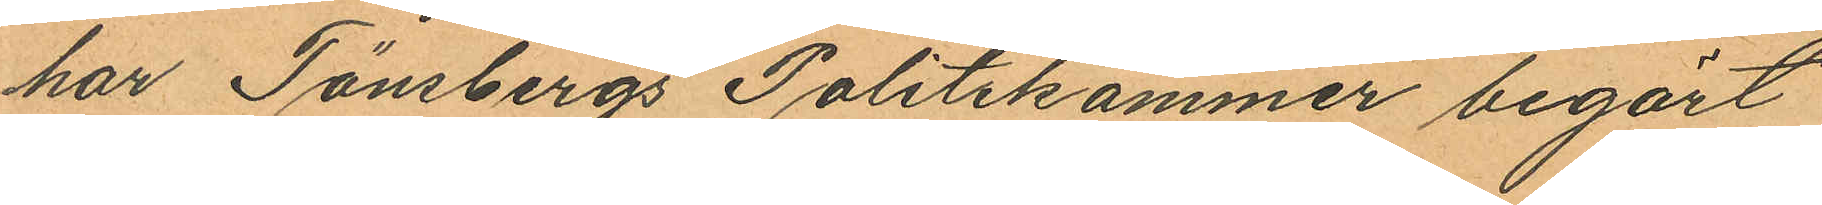har Tönsbergs Politikammer begärt
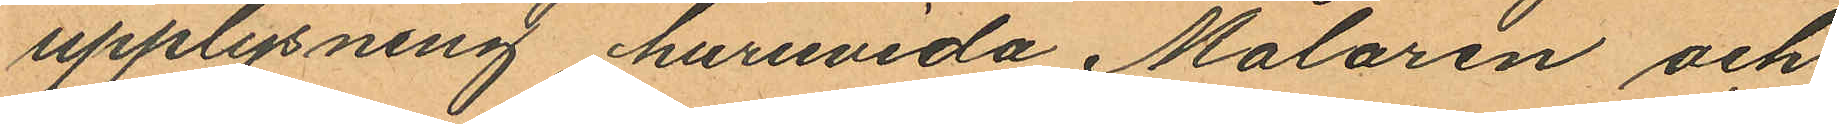upplysning, huruvida Målaren och
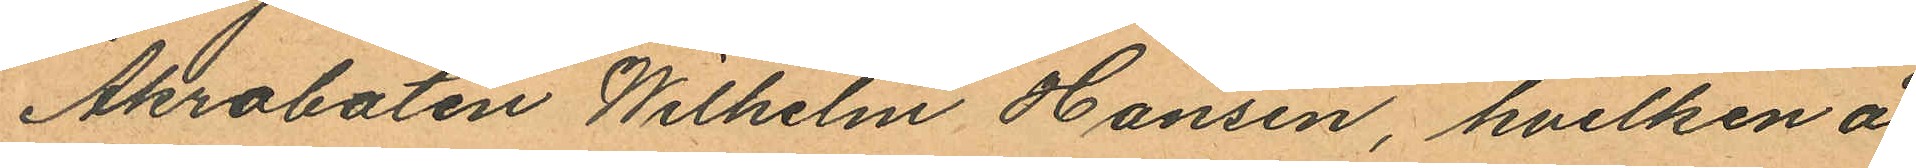Akrobaten Wilhelm Hansen, hvilken å
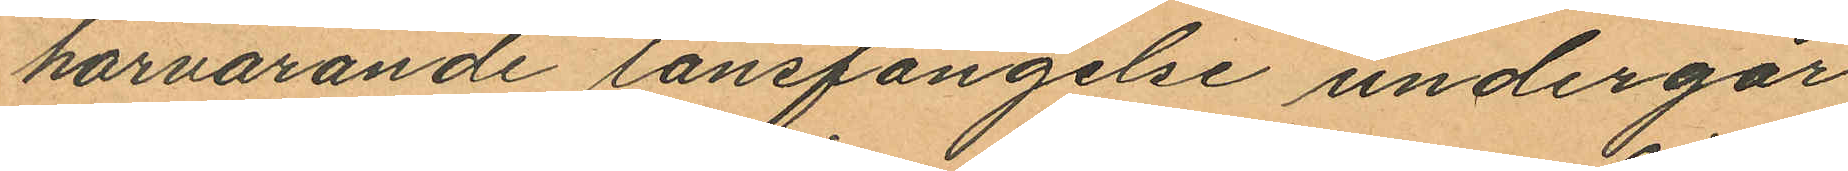härvarande länsfängelse undergår
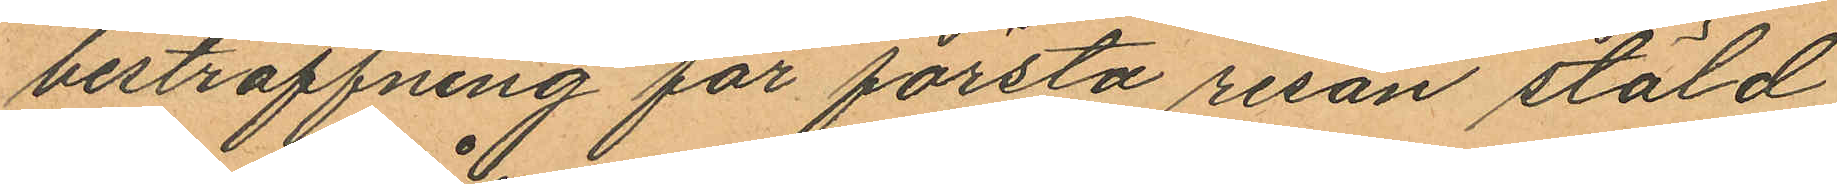bestraffning för första resan stöld
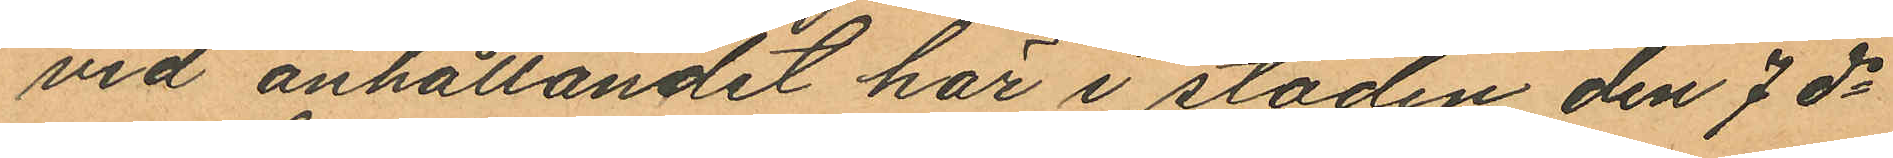vid anhållandet här i staden den 7 ds
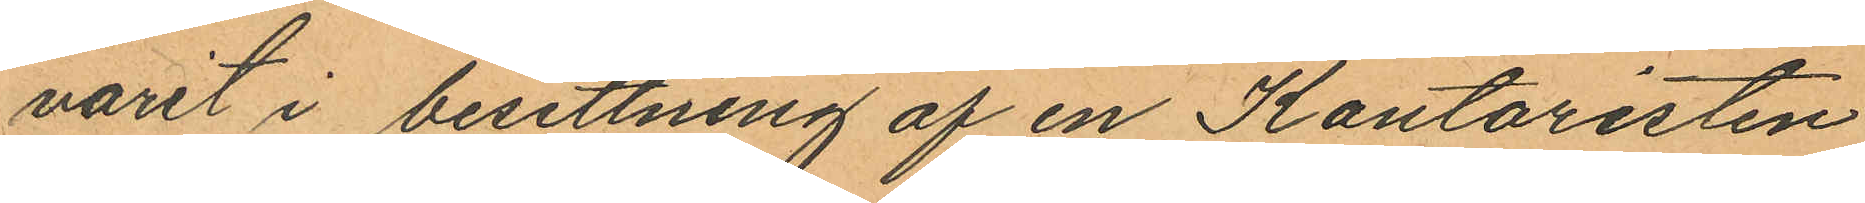varit i besittning af en Kontoristen
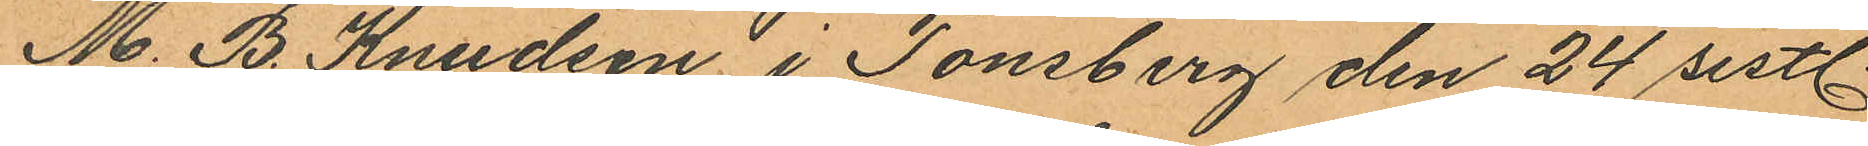M. B. Knundsen i Tönsberg den 24 sistl.
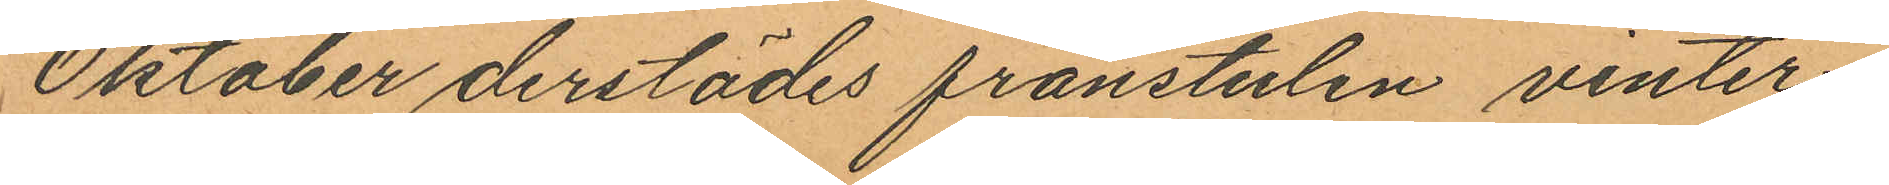Oktober derstädes frånstulen vinter¬
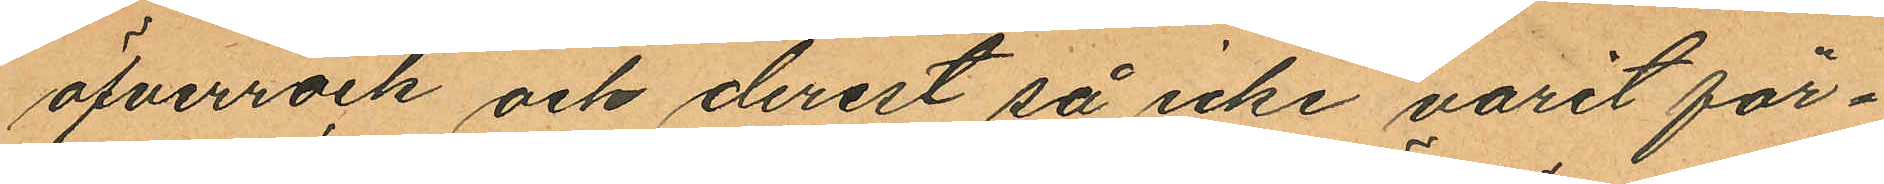öfverrock och derest så icke varit för¬
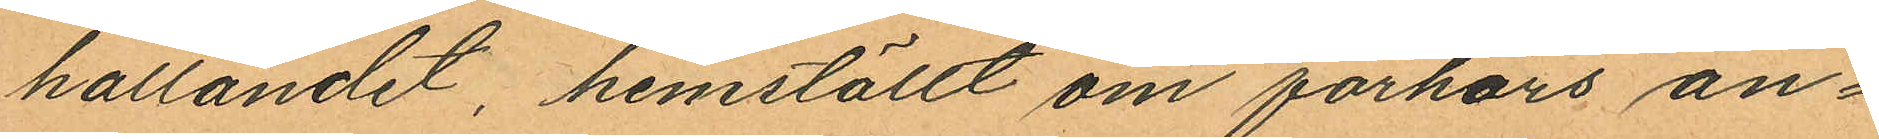hållandet, hemställt om förhörs an¬
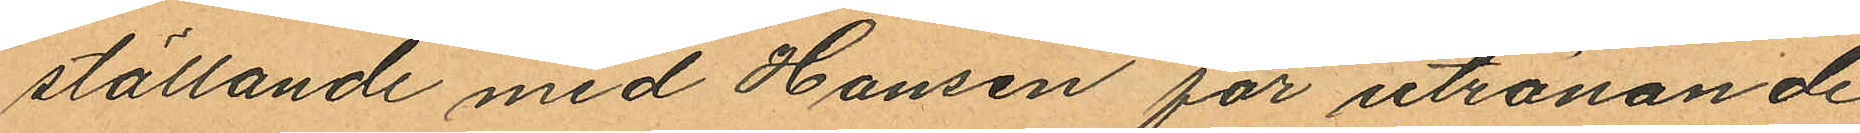ställande med Hansen för utrönande
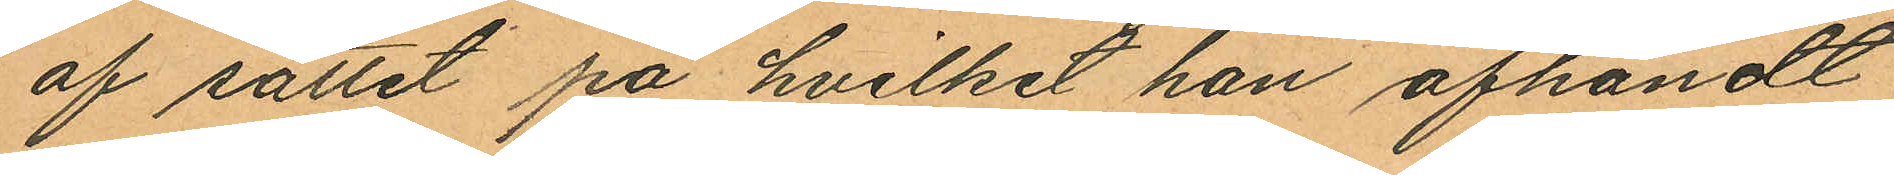af sättet på hvilket han afhändt
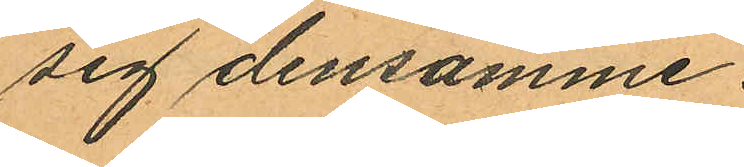sig densamme.
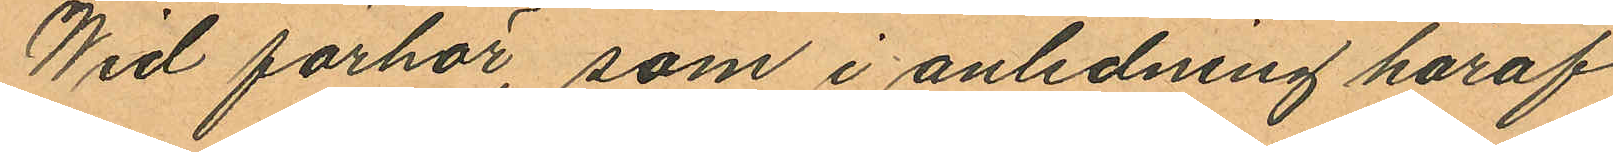Wid förhör, som i anledning häraf
